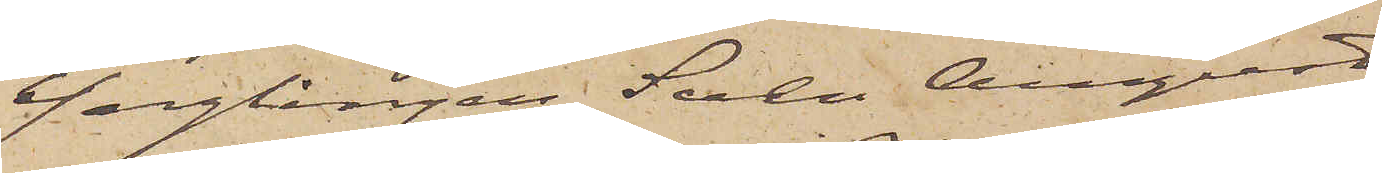Ynglingen Sven August
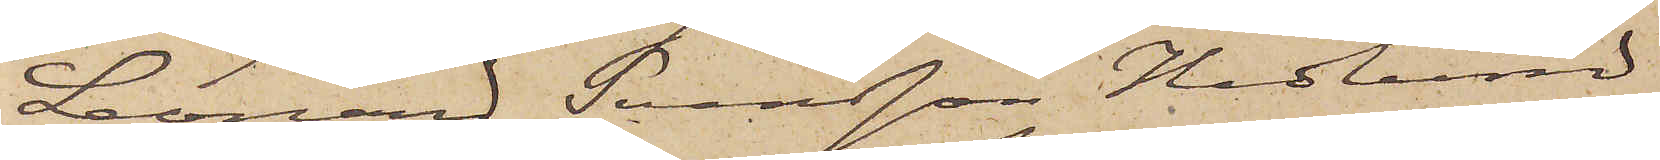Leonard Svensson Hedlund
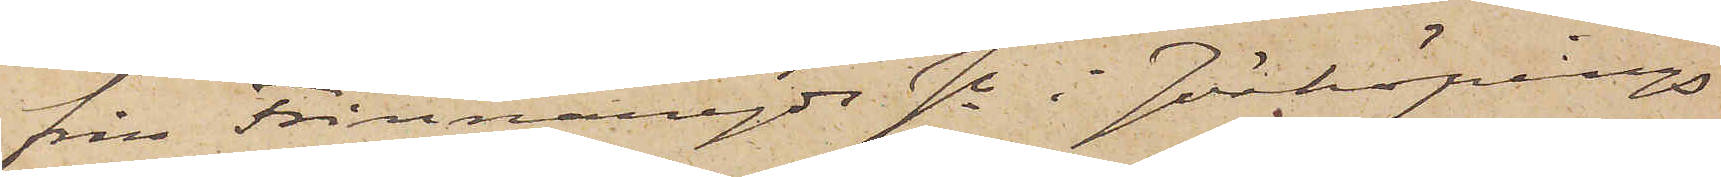från Frinnaryds sn i Jönköpings
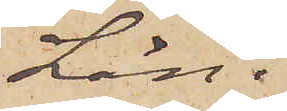Län.
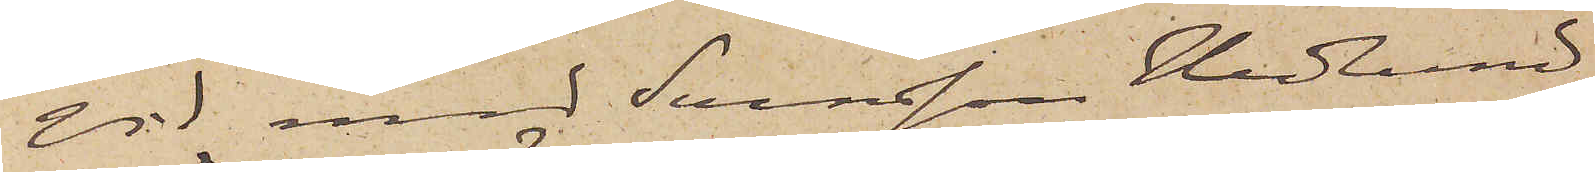Vid med Svensson Hedlund
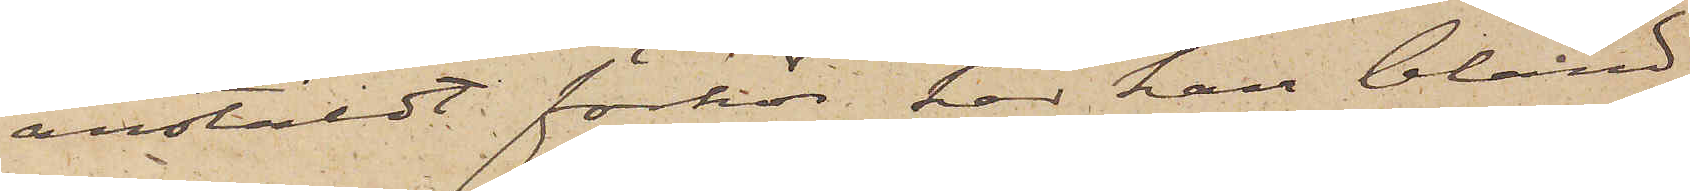anstäldt förhör, har han bland
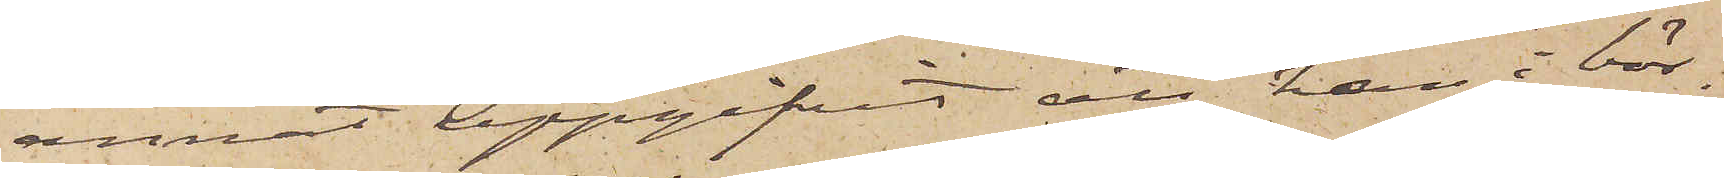annat uppgifvit, att han i bör¬
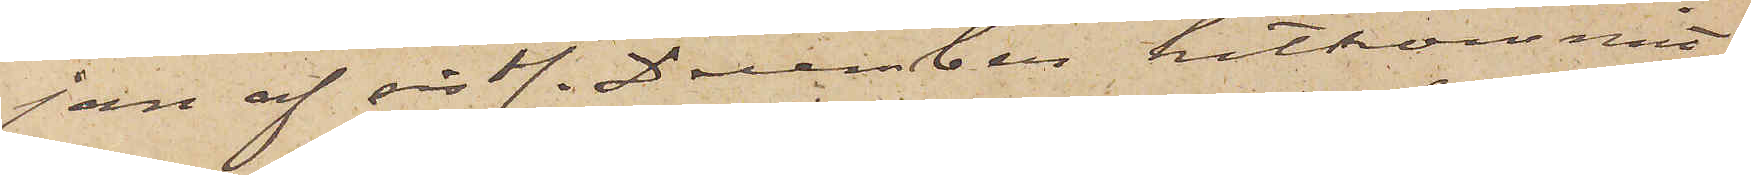jan af sistl. December hitkommit
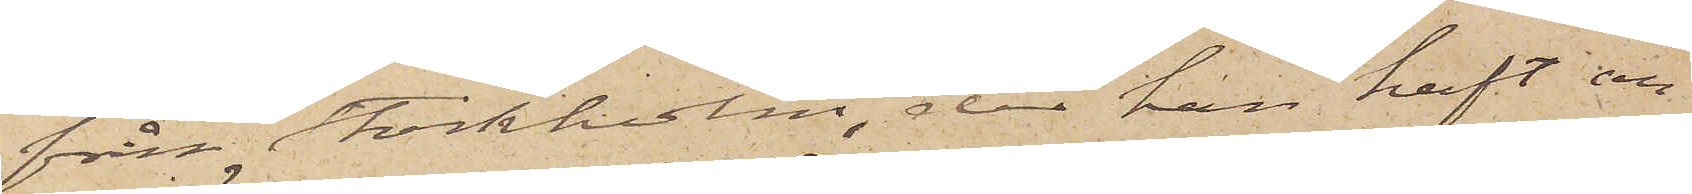från Stockholm, der han haft an¬
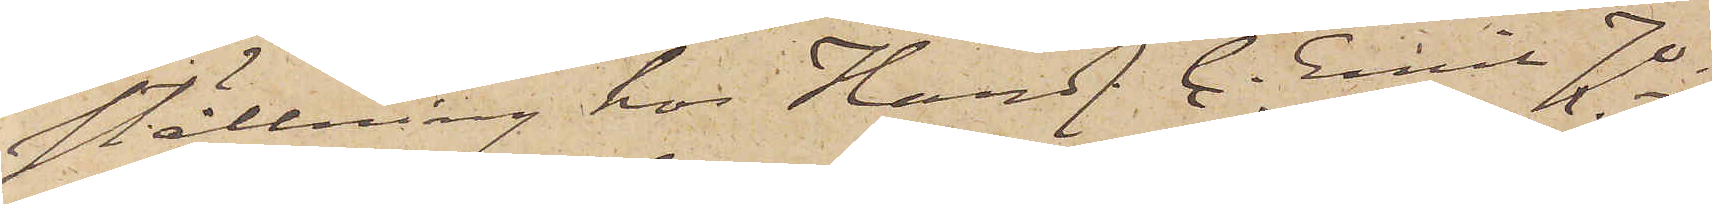ställning hos Handl. C. Emil Jo¬
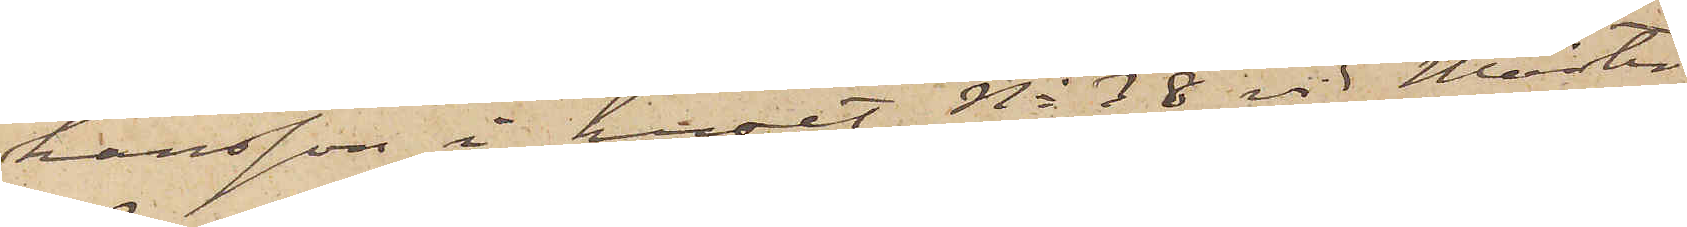hansson i huset No 38 vid Mäster
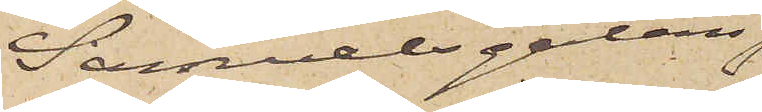Samuelsgatan,
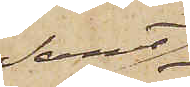samt
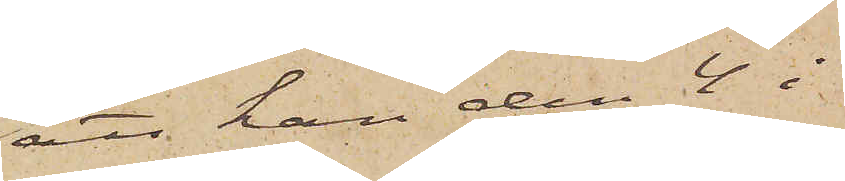att han den 4 i
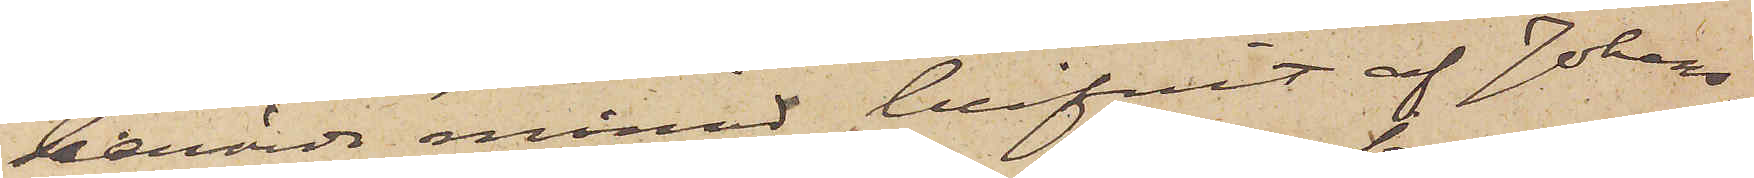berörde månad blifvit af Johans¬
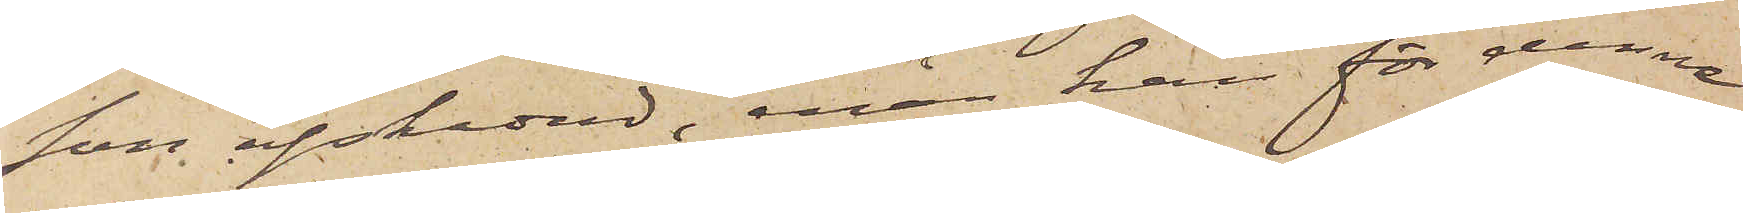son afskedad, enär han för denne
